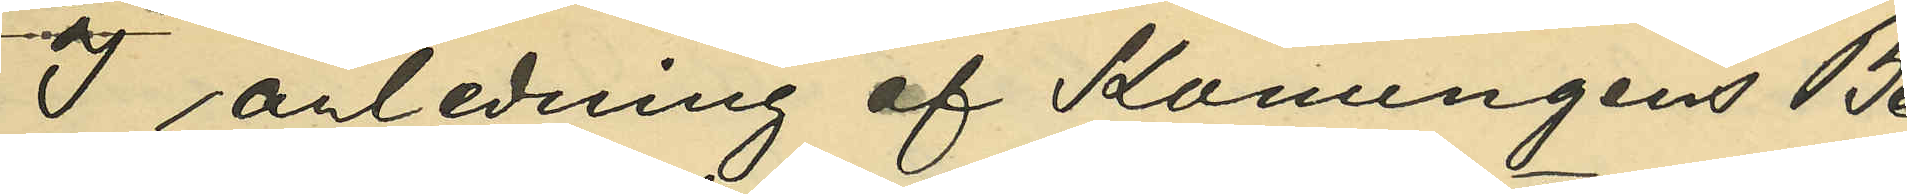I anledning af Konungens Be¬
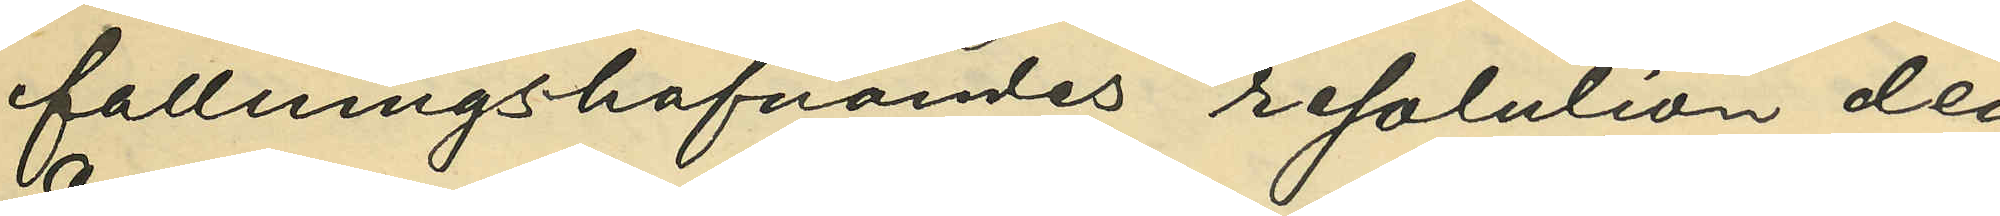fallningahafvandes resolution den
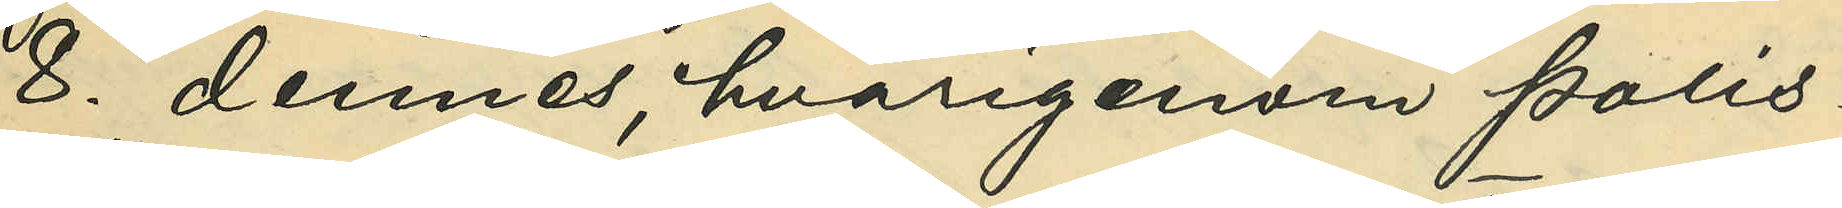8. dennes, hvarigenom Polis¬
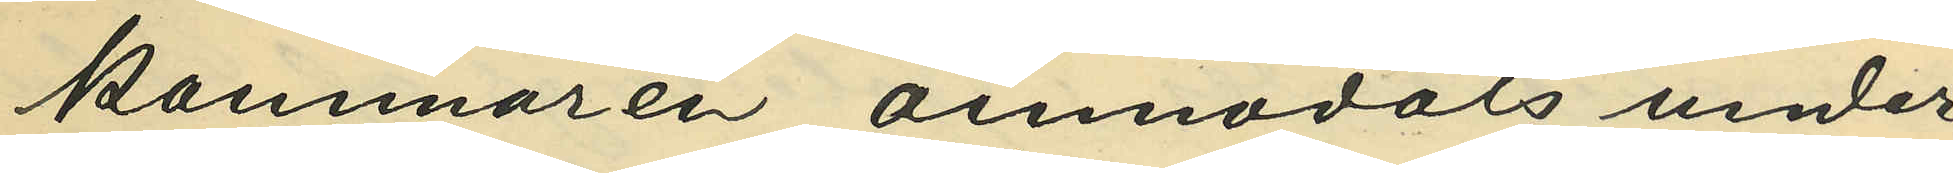kammaren anmodats under¬
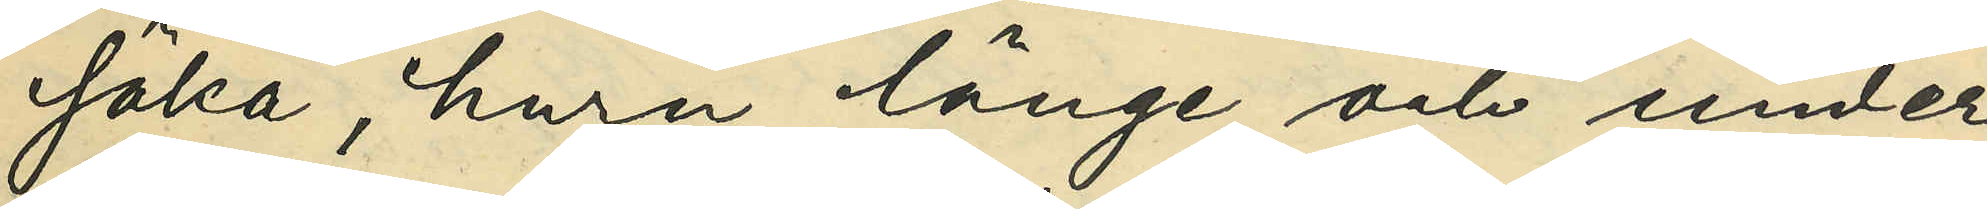söka, huru länge och under
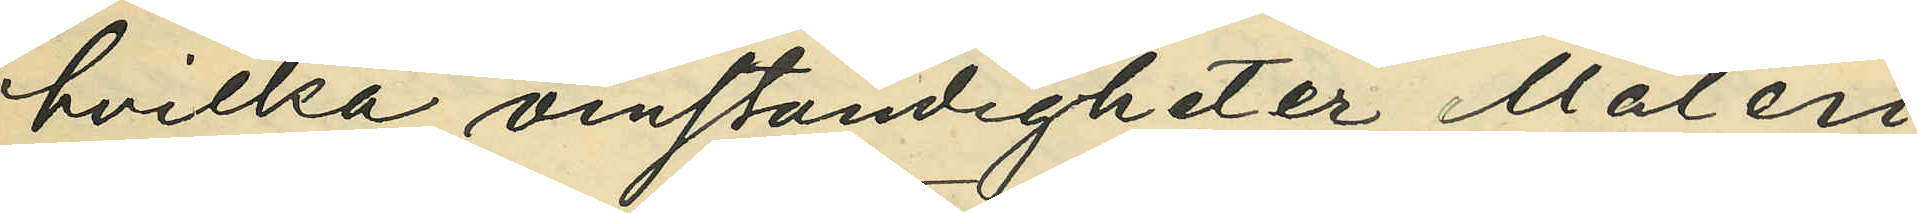hvilka omständigheter Måleri¬
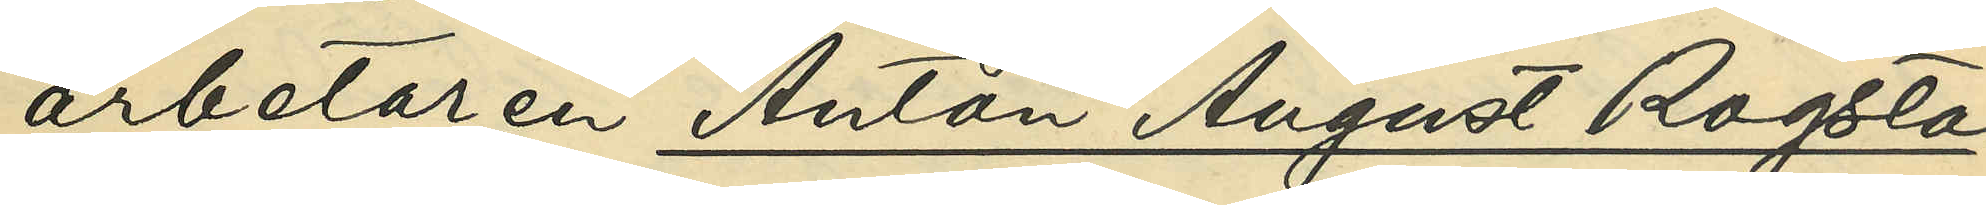arbetaren Anton August Rogsta¬
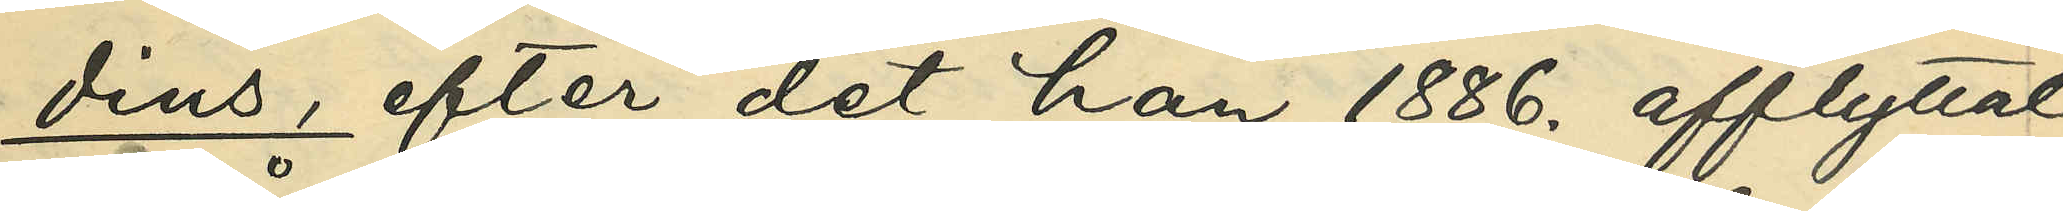dius, efter det han 1886. afflyttat
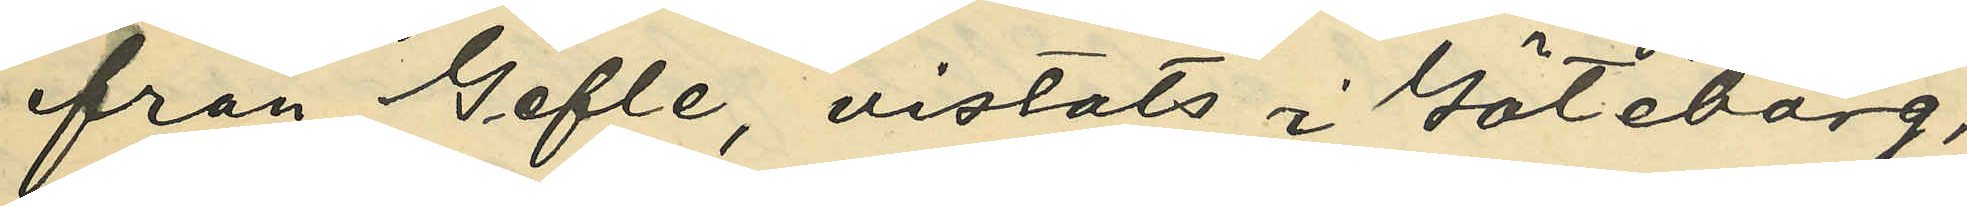från Gefle, vistats i Göteborg,
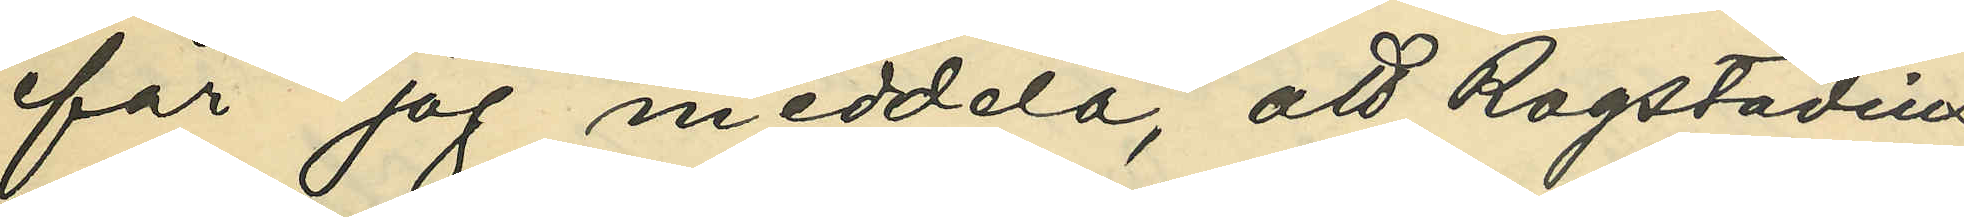får jag meddela, att Rogstadius
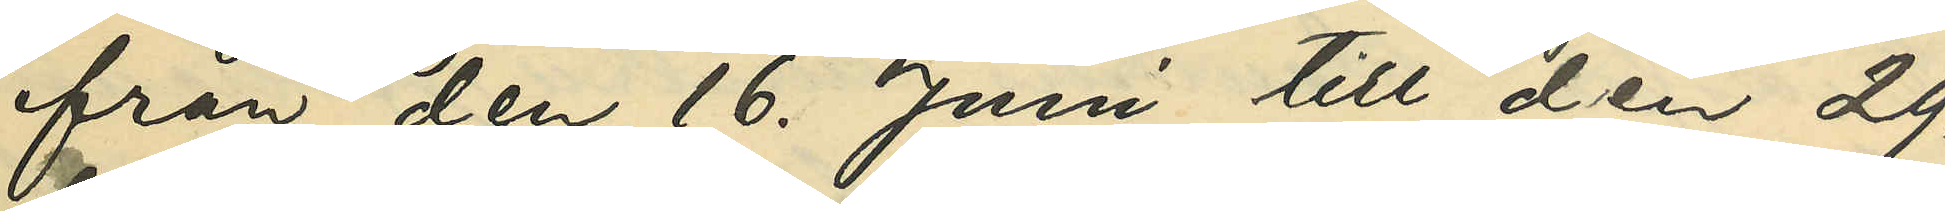från den 16. Juni till den 29.
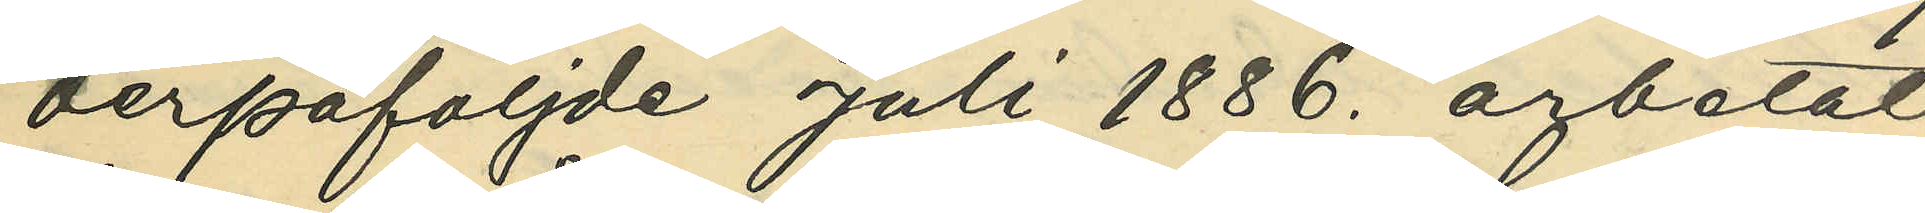derpåföljde Juli 1886. arbetat
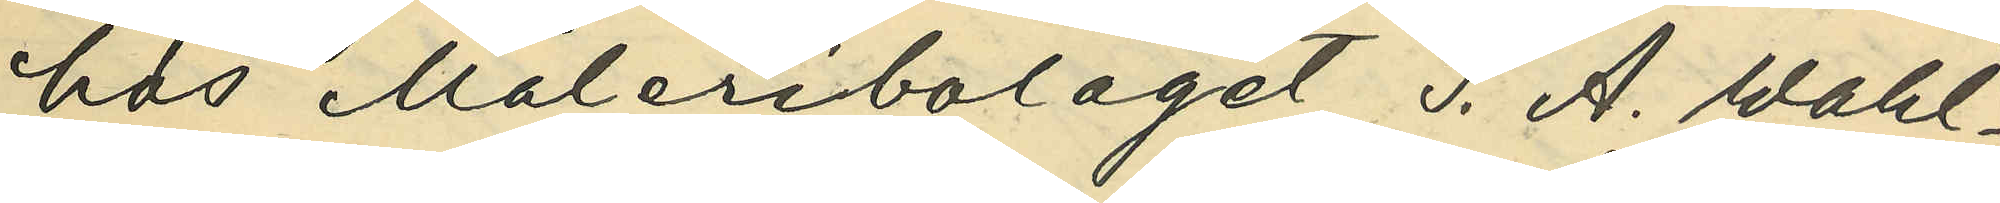hos Måleribolaget S. A. Wahl¬
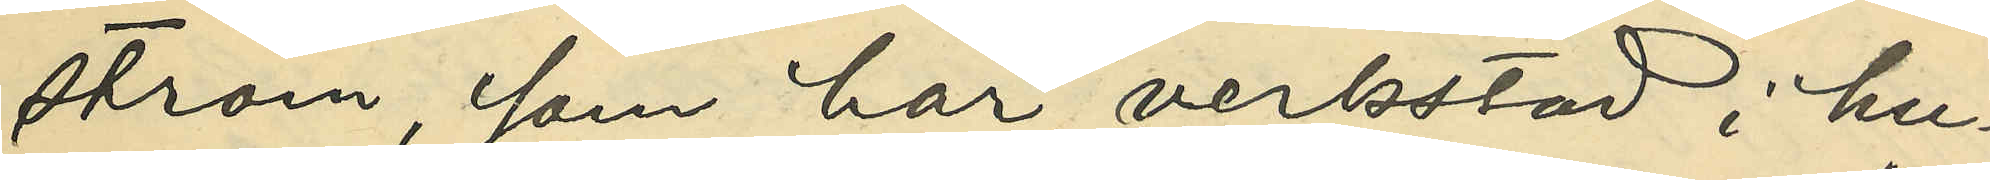ström, som har verkstad i hu¬
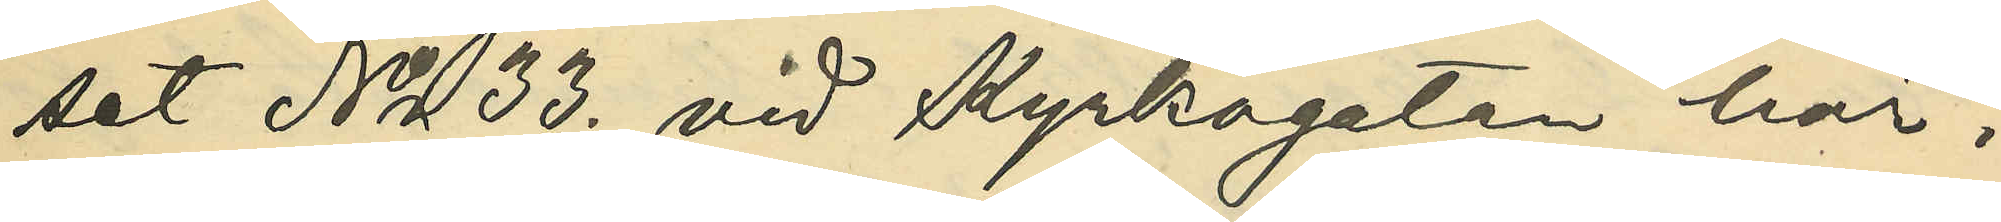set No 33. vid Kyrkogatan här i
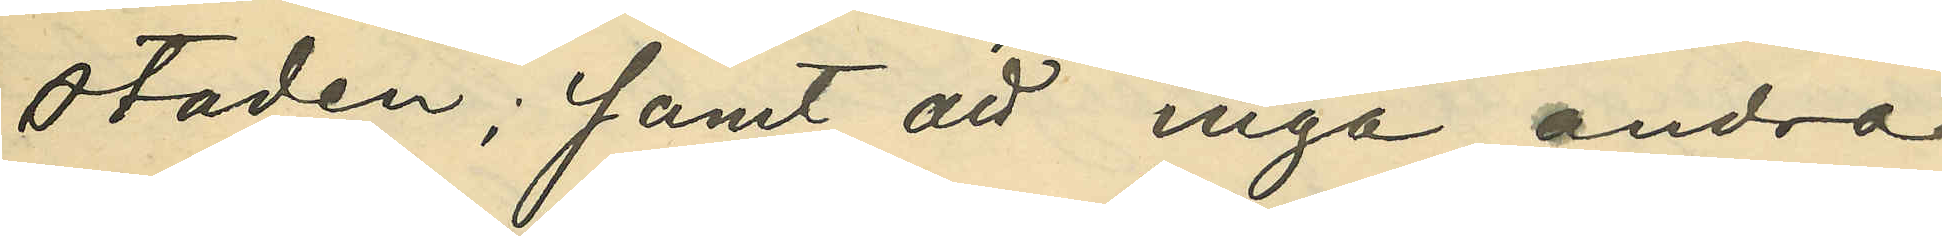staden; samt att inga andra
